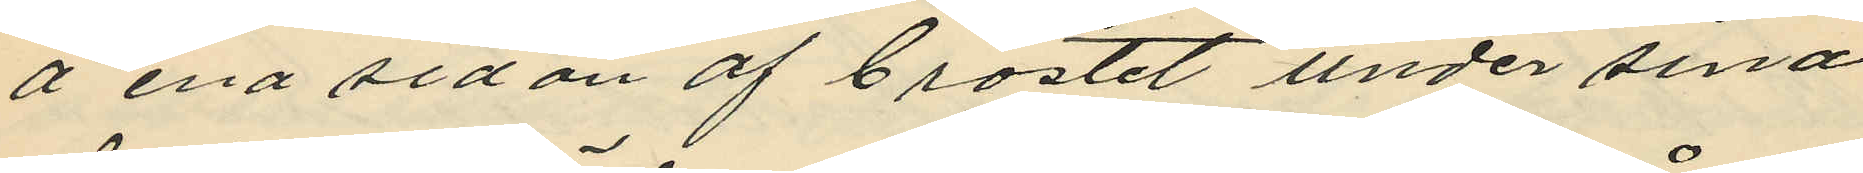å ena sidan af bröstet under sina
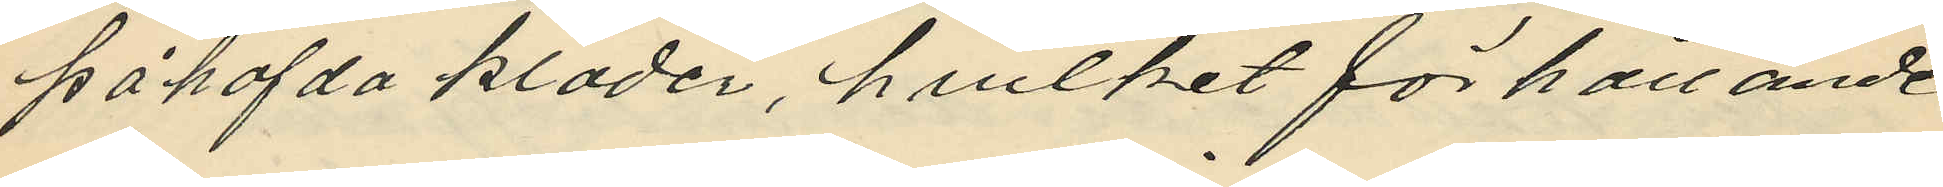påhafda kläder, hvilket förhållande
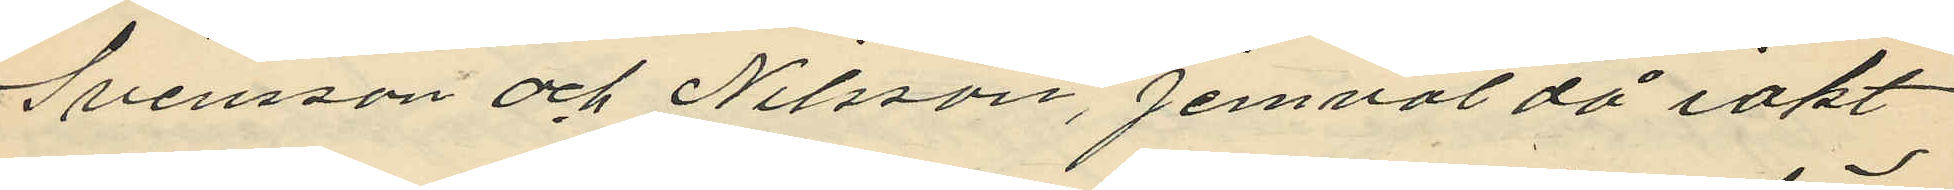Svensson och Nilsson, jemväl då iakt¬
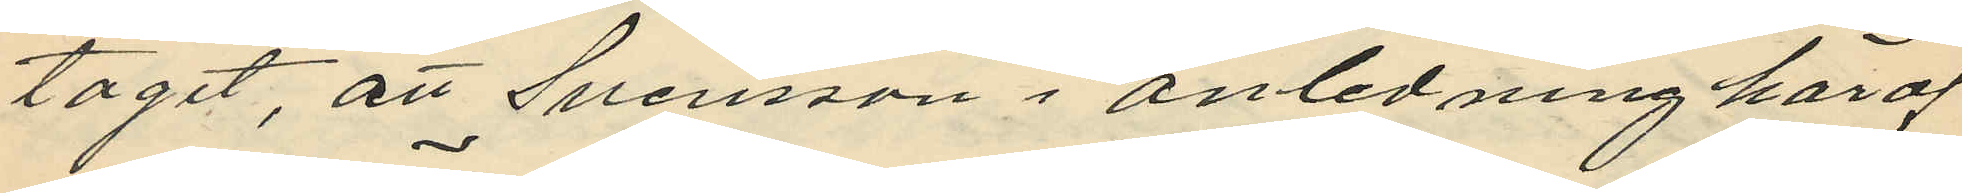tagit, att Svensson i anledning häraf
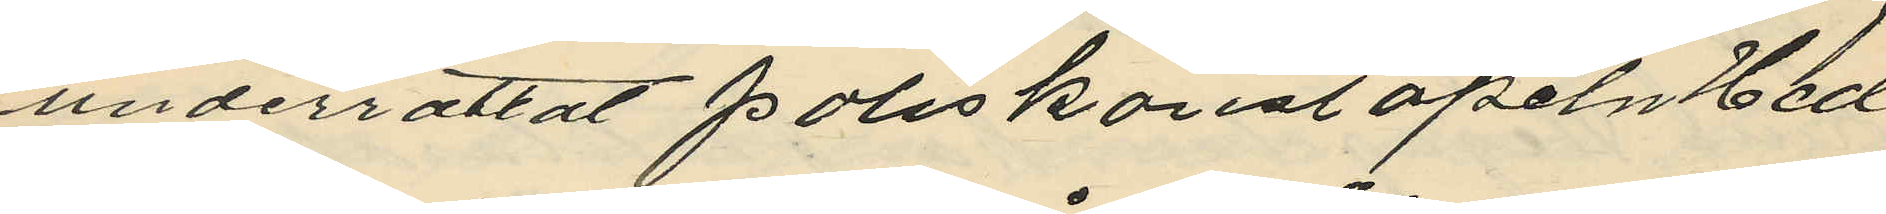underrättat poliskonstapeln Hed
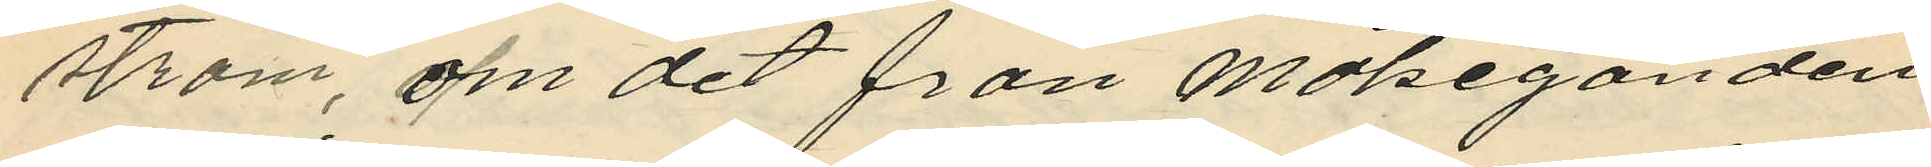ström, om det från målseganden
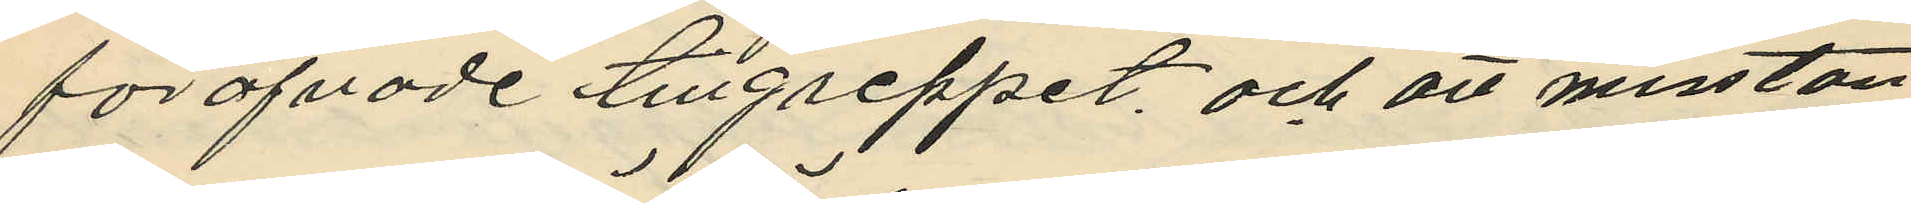föröfvade tillgreppet, och att misstan
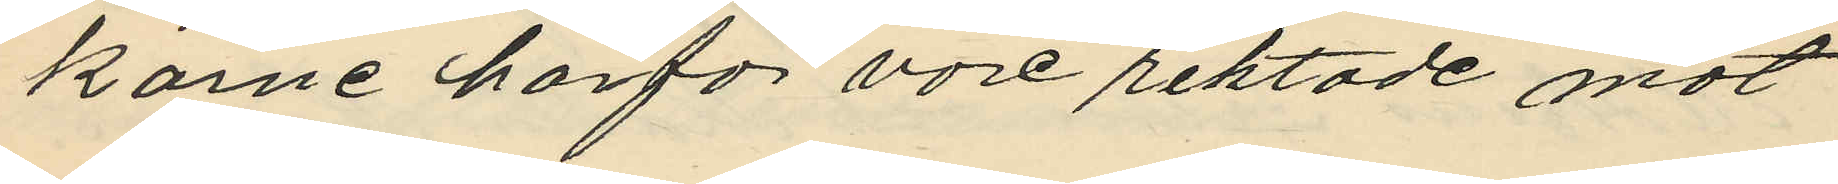karne härför vore riktade mot
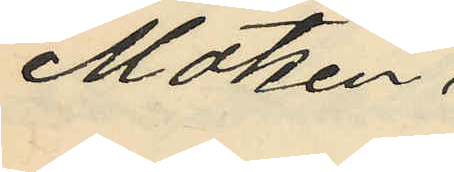Matzén,
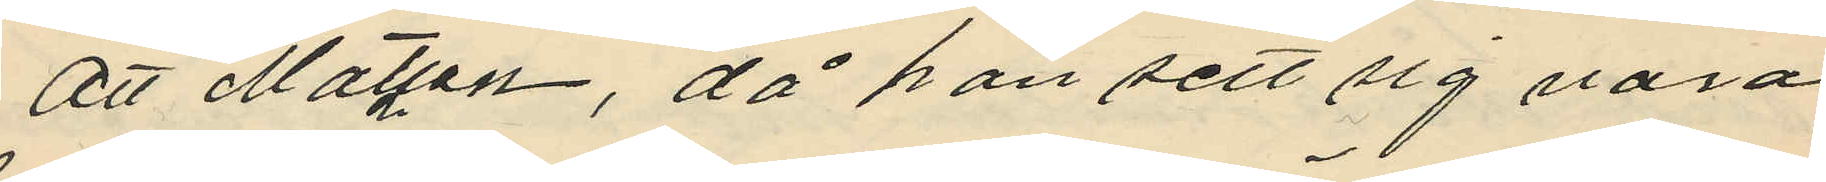att Matzen, då han sett sig vara
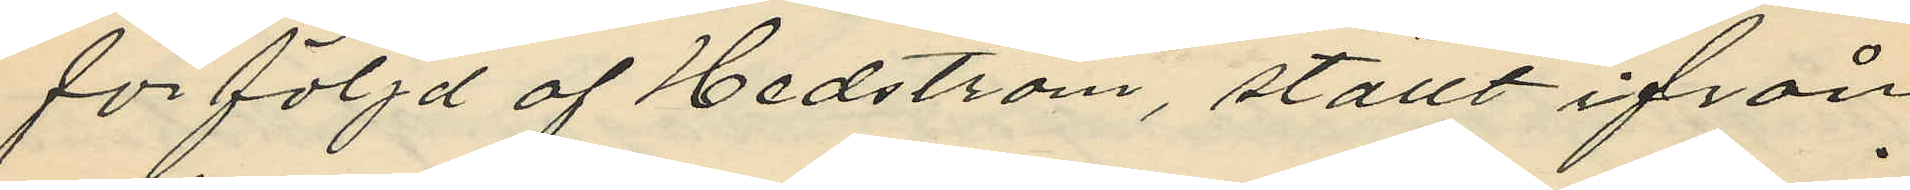förföljd af Hedström, ställt ifrån
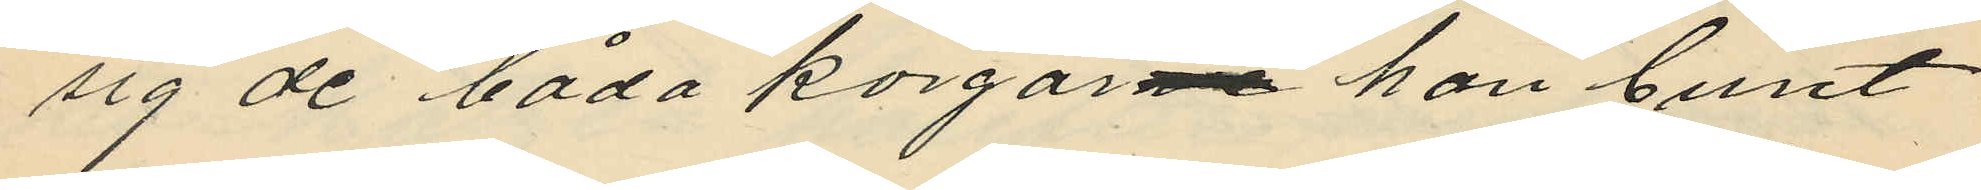sig de båda korgarne han burit
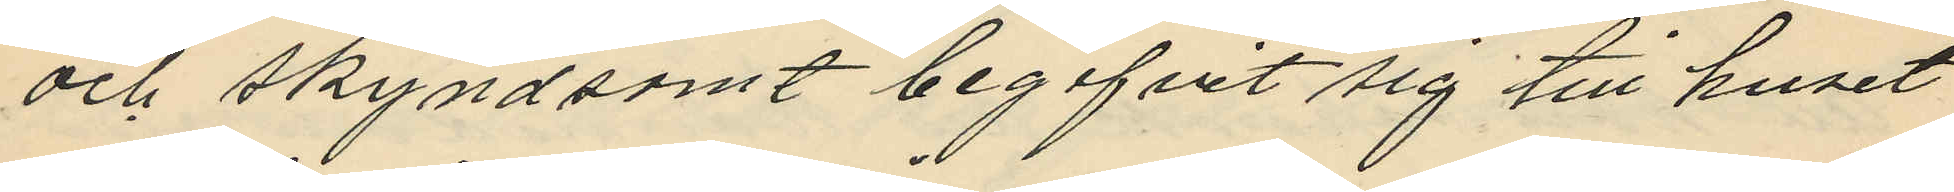och skyndsamt begifvit sig till huset
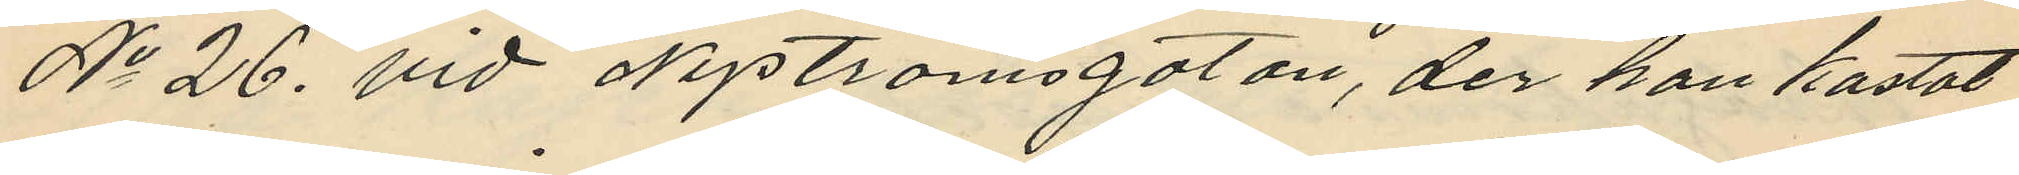No 26, vid Nyströmsgatan, der han kastat
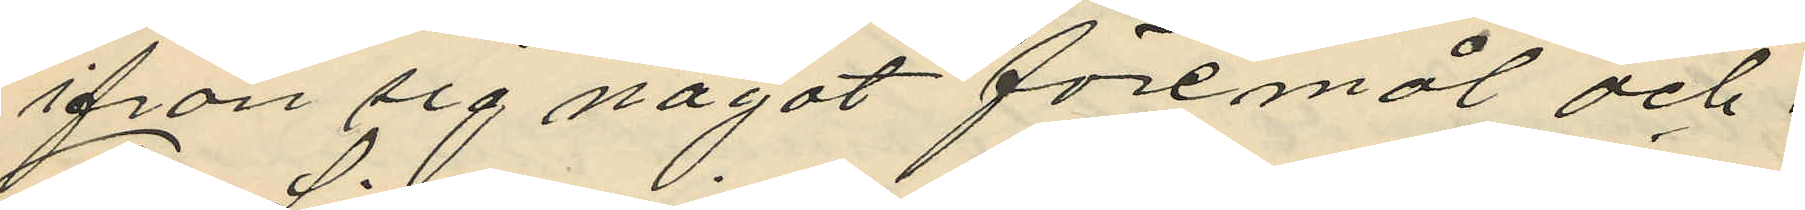ifrån sig något föremål och,
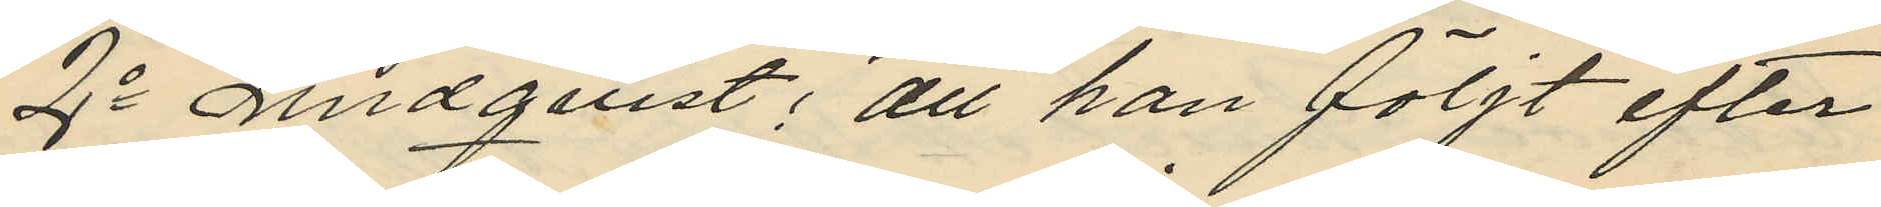2o Lindquist; att han följt efter
